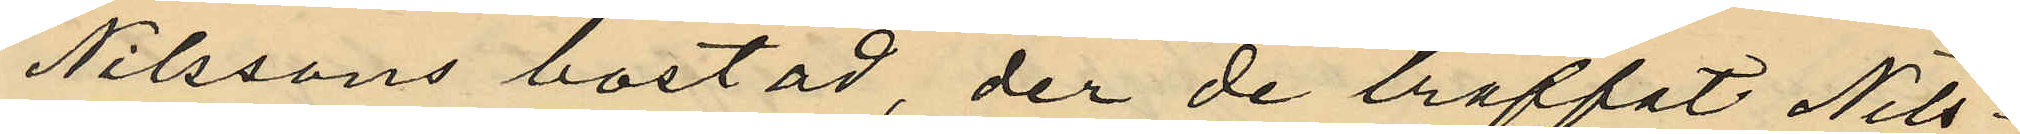Nilssons bostad, der de träffat Nils¬
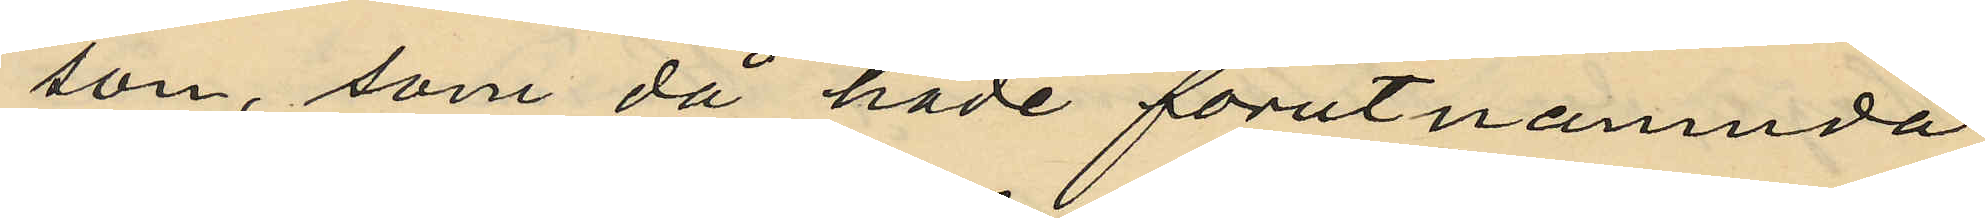son, som då hade förutnamnda
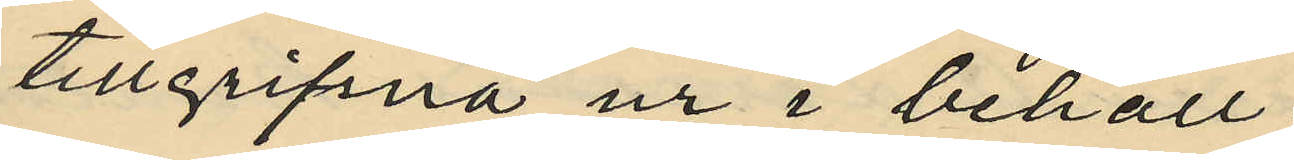tillgripna ur i behåll;
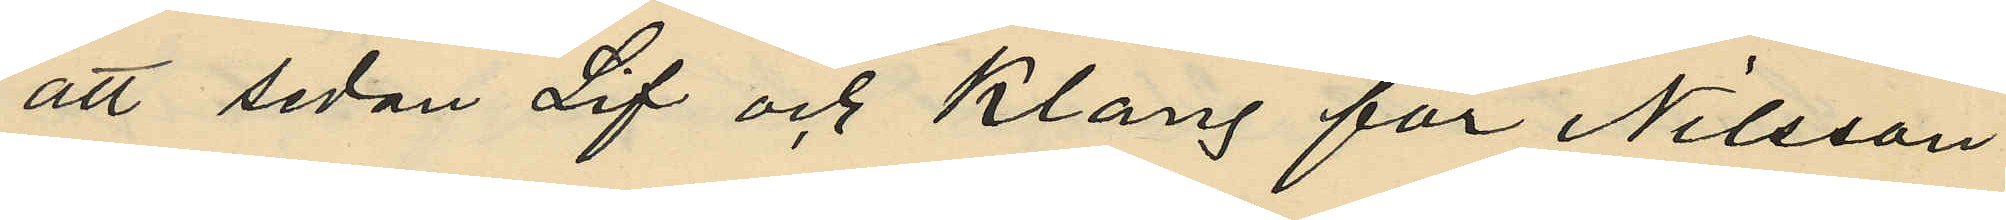att sedan Lif och Klang för Nilsson
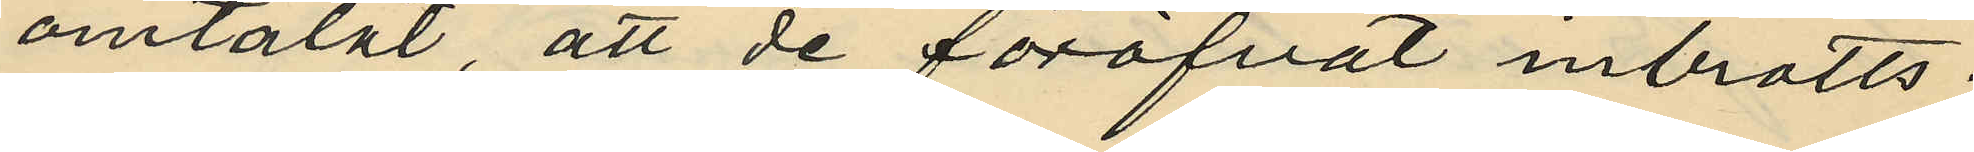omtalat, att de föröfvat inbrotts¬
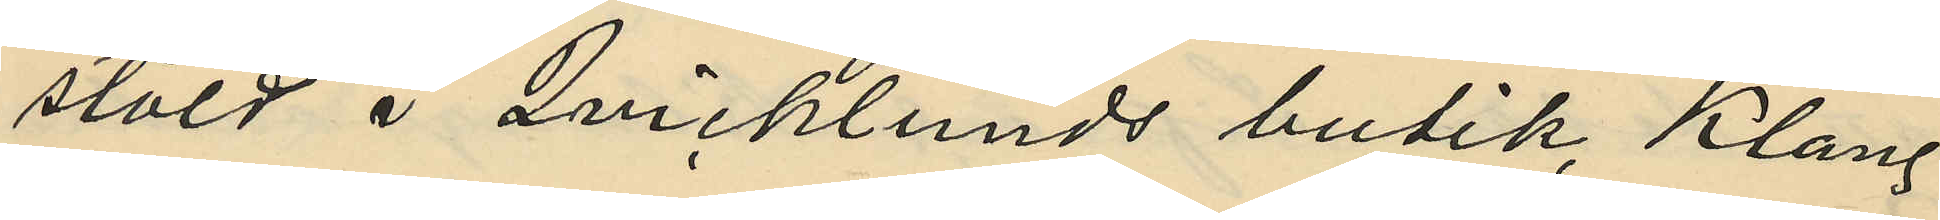stöld i Qvicklunds butik, Klang
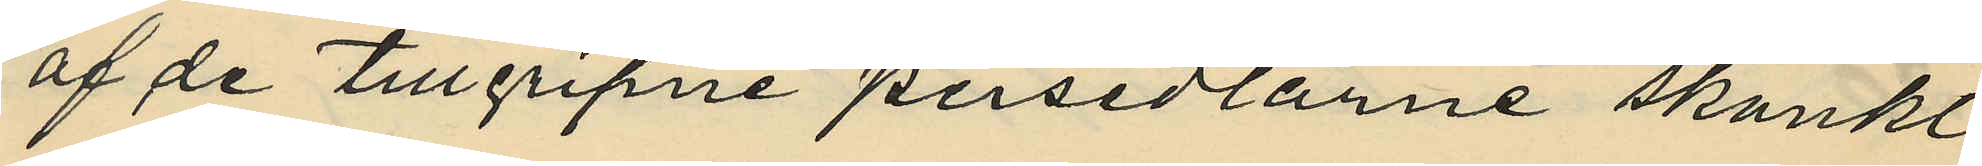af de tillgripne persedlarne skänkt
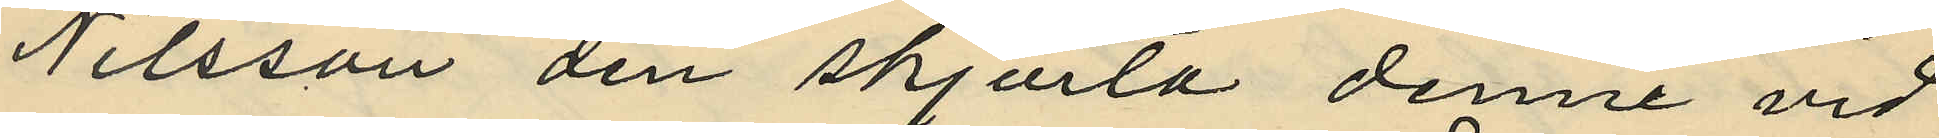Nilsson den skjorta denne vid
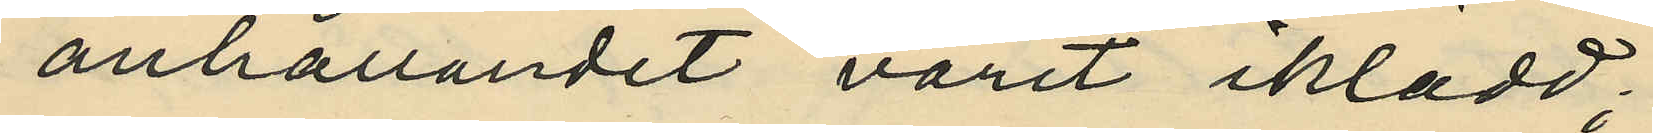anhållandet varit iklädd;
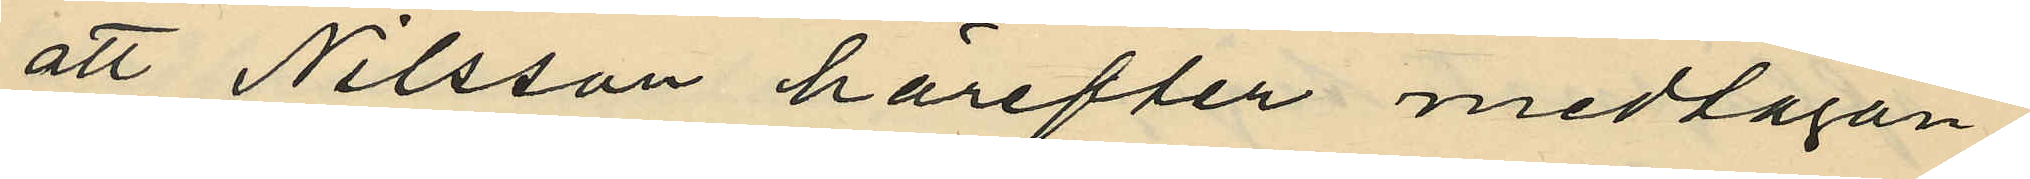att Nilsson härefter medtagan¬
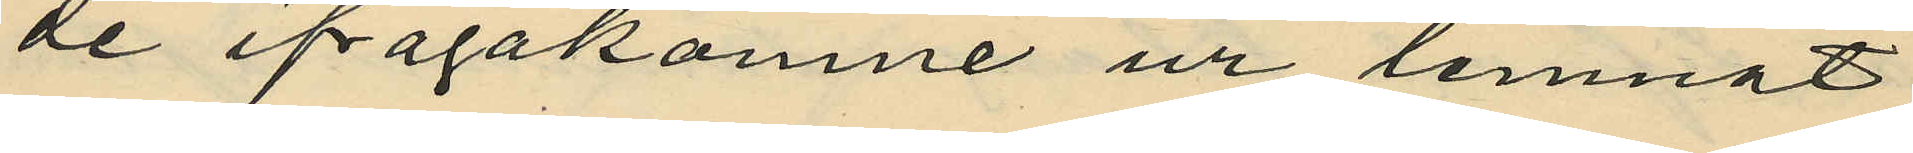de ifrågakomne ur lemnat
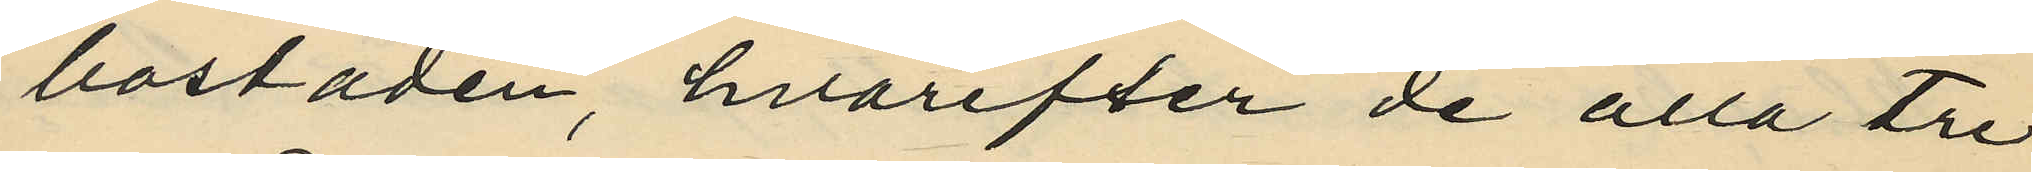bostaden, hvarefter de alla tre
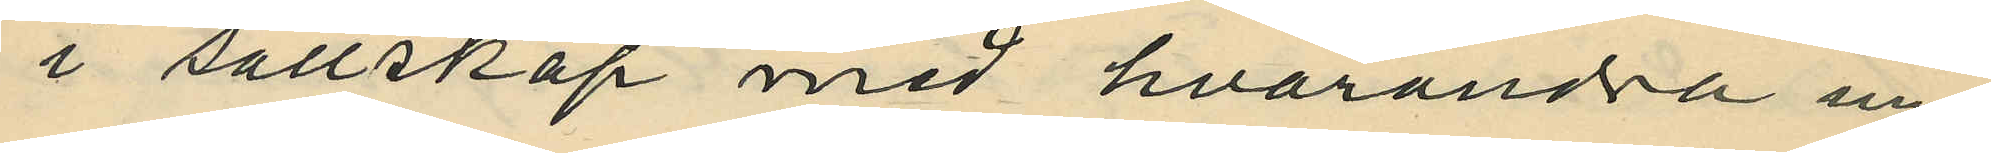i sällskap med hvarandra un¬
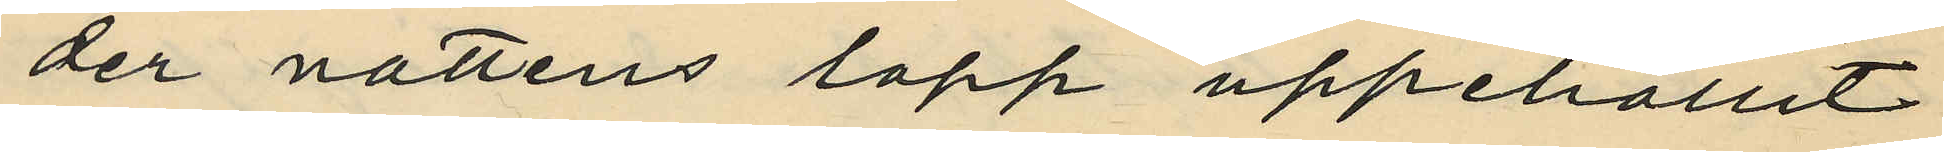der nattens lopp uppehållit
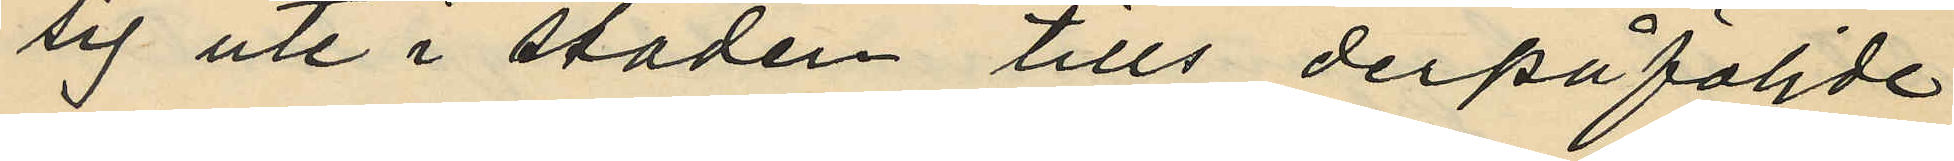sig ute i staden tills derpåföljde
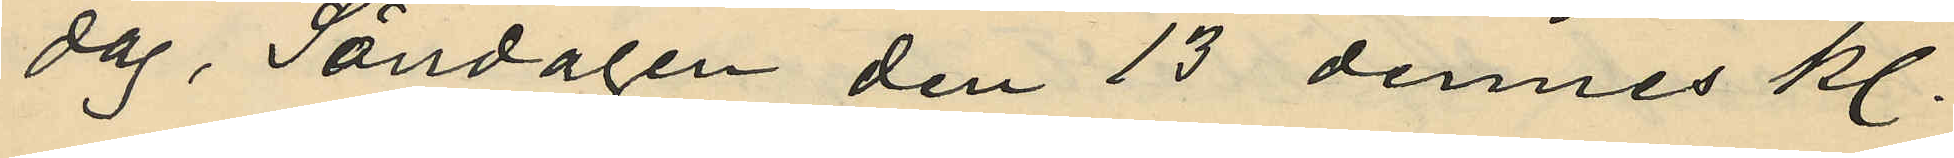dag, Söndagen den 13 dennes kl.
